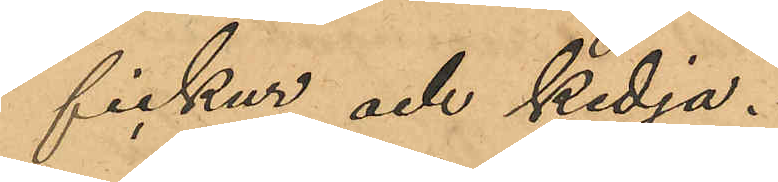fickur och kedja.
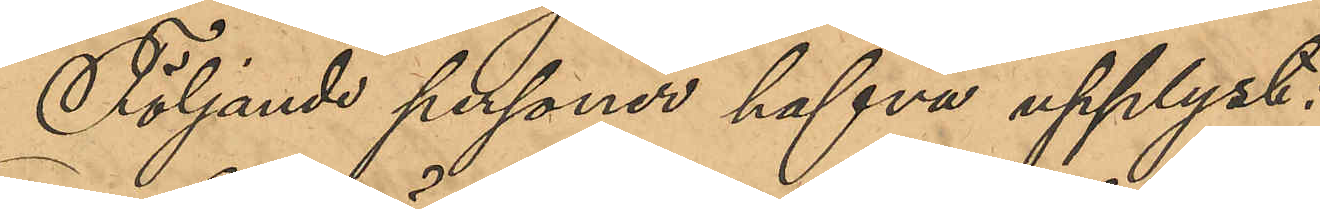Följande personer hafva upplyst:
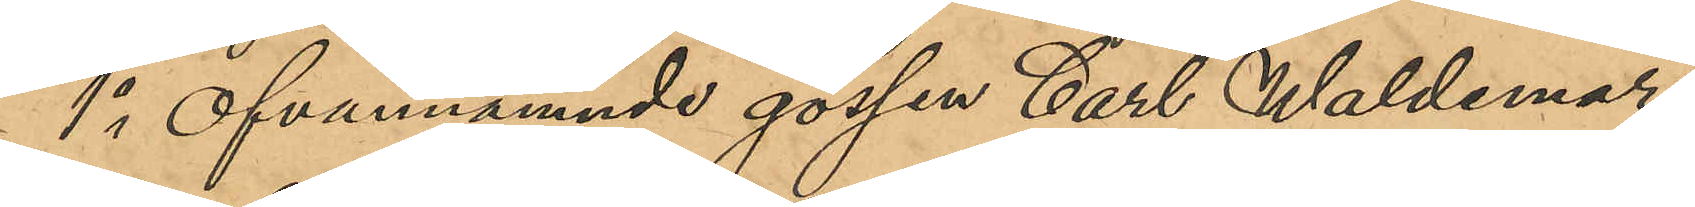1o Ofvannämnde gossen Carl Waldemar
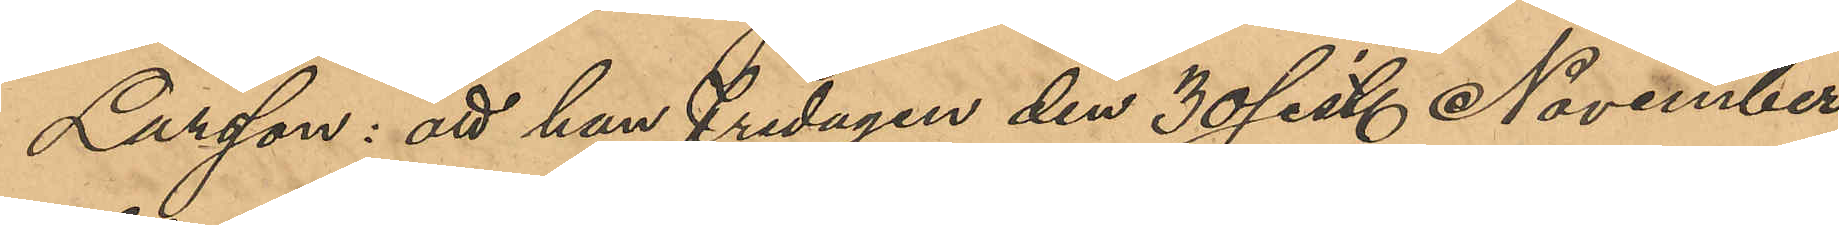Larsson: att han fredagen den 30 sist. November
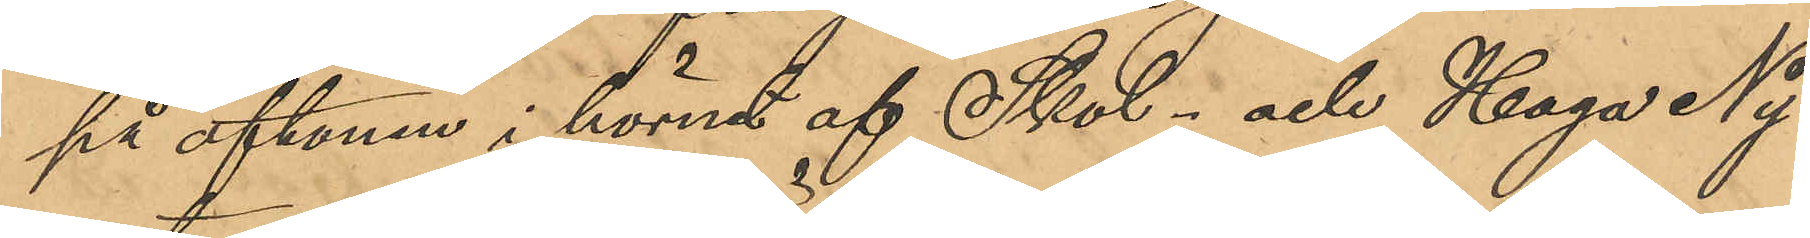på aftonen i hörnet af Skol- och Haga Ny¬
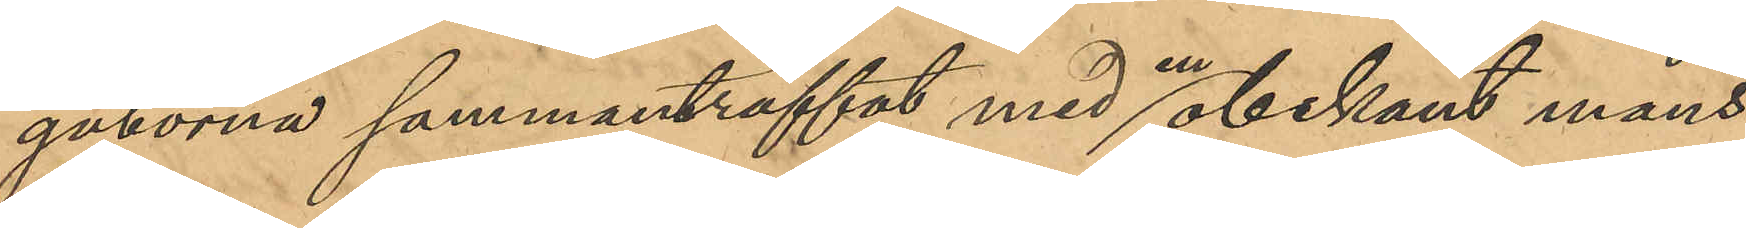gatorna sammanträffat med en obekant mans¬
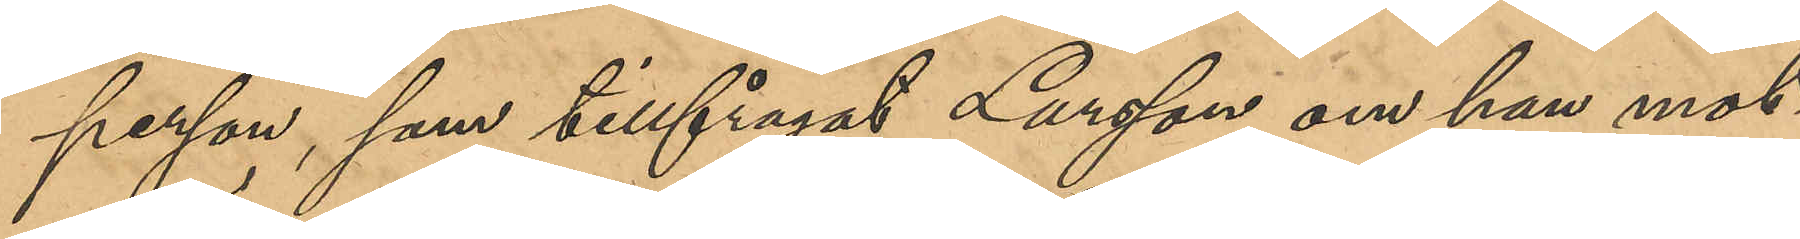person, som tillfrågat Larsson om han mot
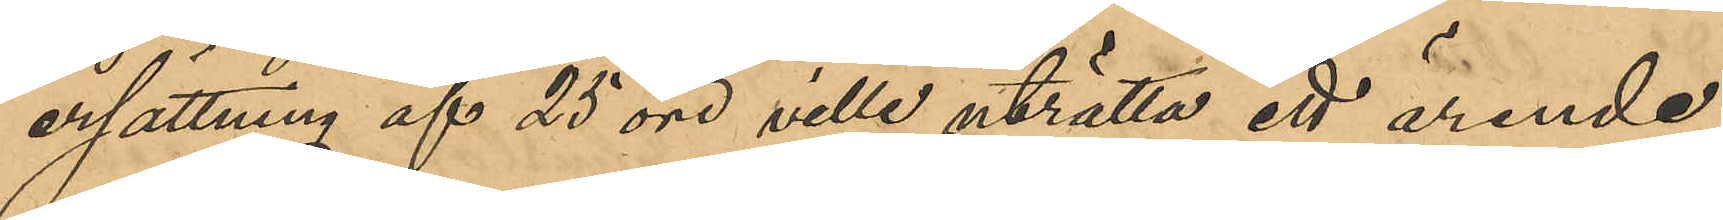ersättning af 25 öre ville uträtta ett ärende;
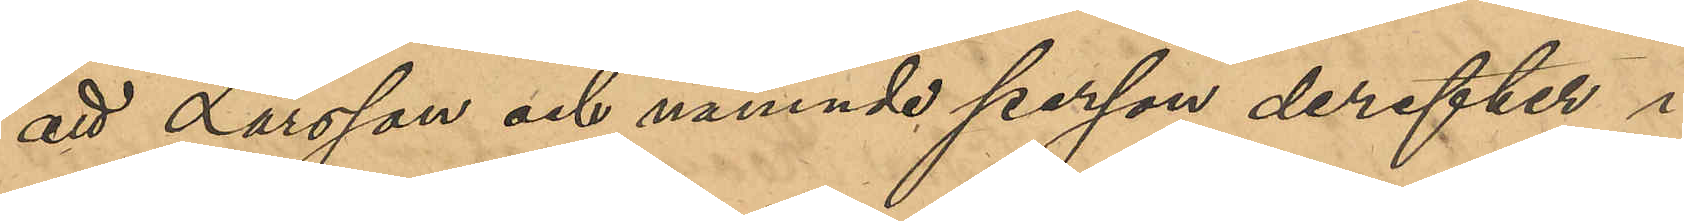att Larsson och nämnde person derefter i
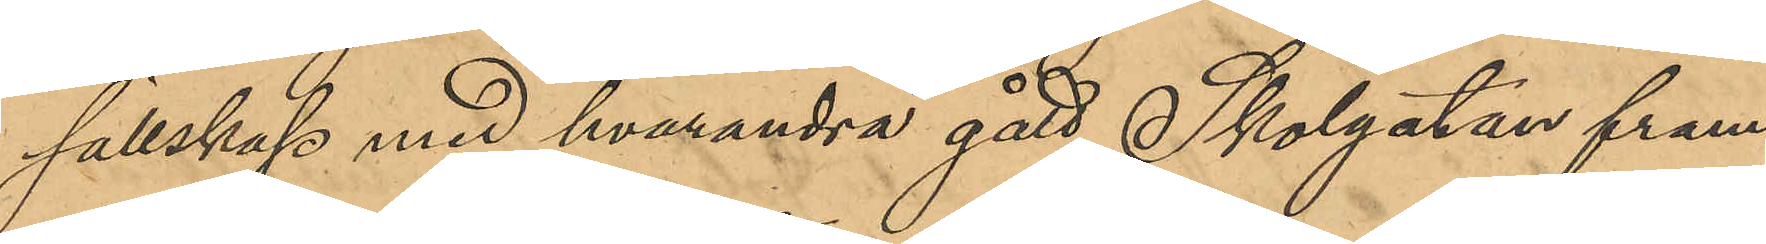sällskap med hvarandra gått Skolgatan fram
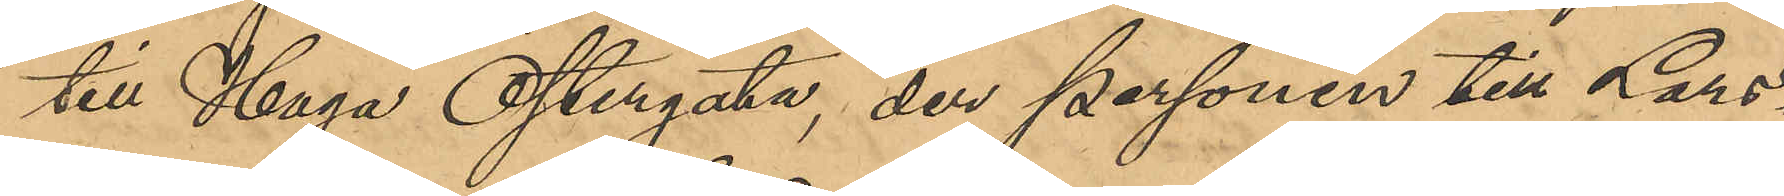till Haga Östergata, der personen till Lars¬
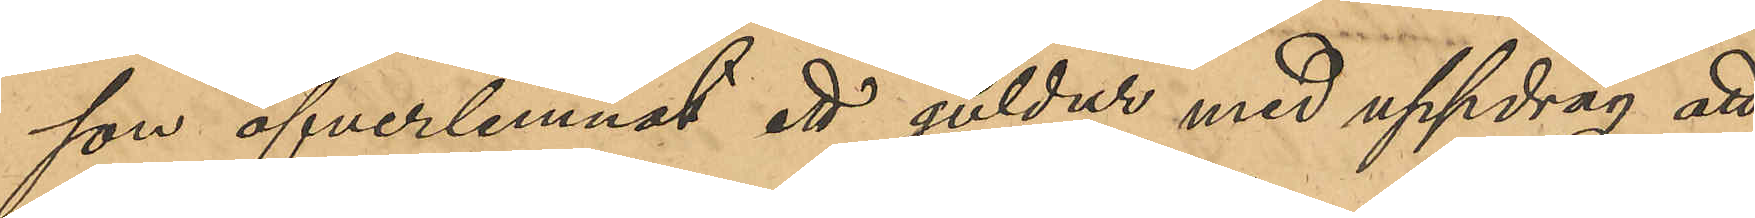son öfverlemnat ett guldur med uppdrag att
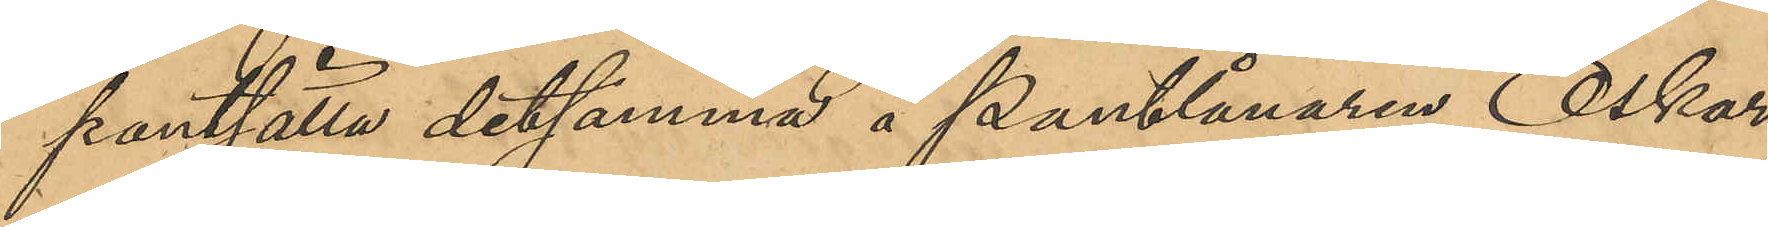pantsätta detsamma å Pantlånaren Oskar
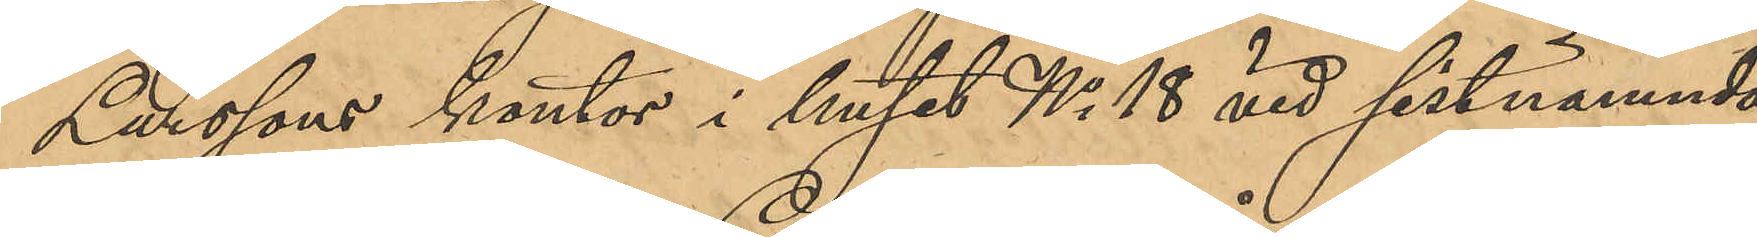Larssons kontor i huset No 18 vid sistnämnda
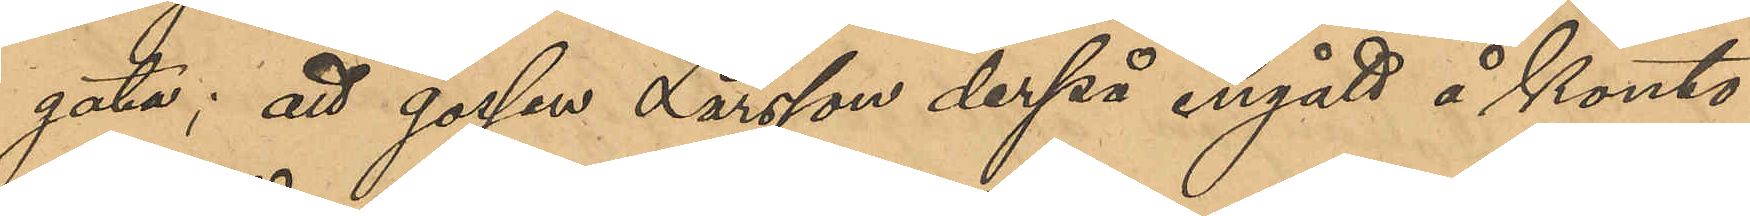gata; att gossen Larsson derpå ingått å konto¬
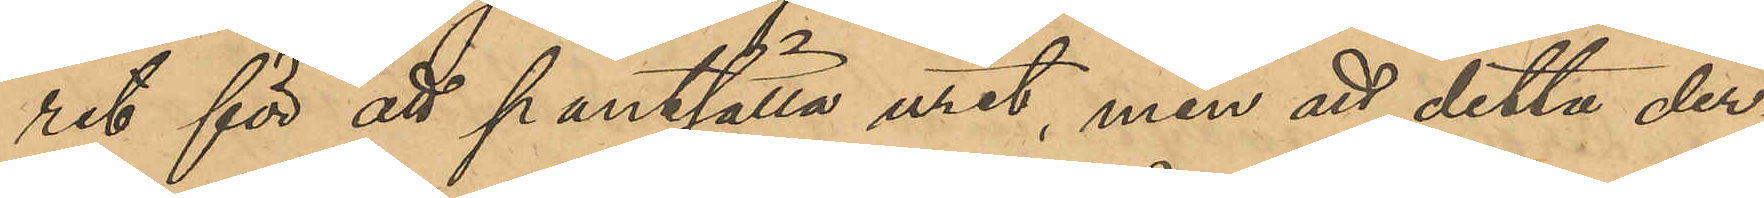ret för att pantsätta uret, men att detta der¬
